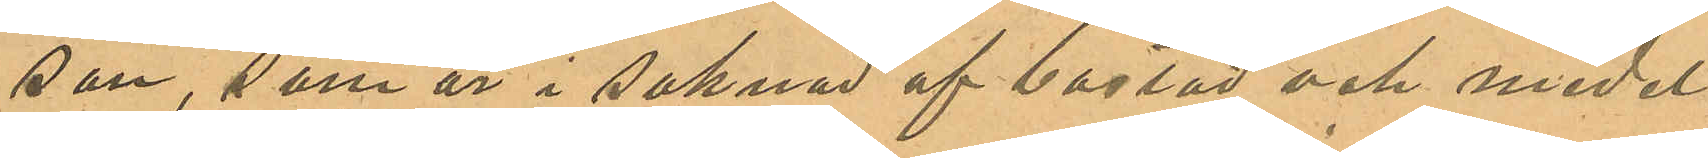son, som är i saknad af bostad och medel
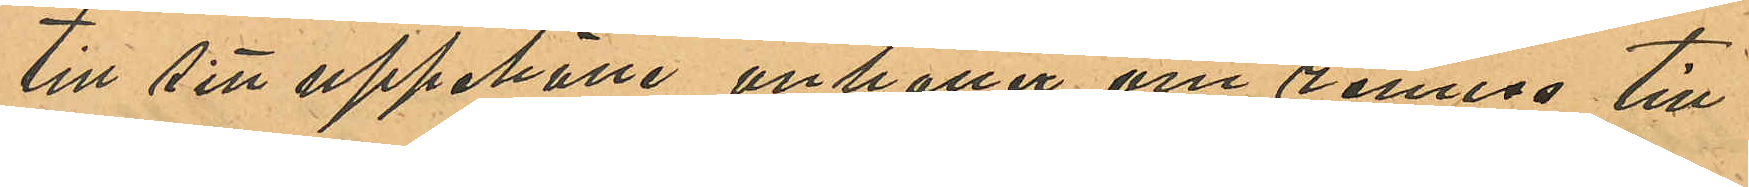till sitt uppehälle anhåller om remiss till
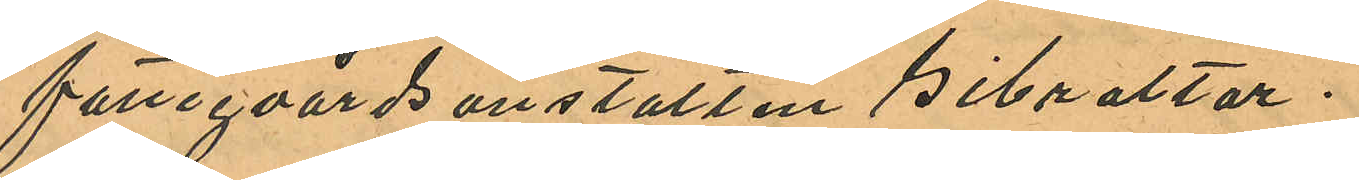fattigvårdsanstalten Gibraltar.
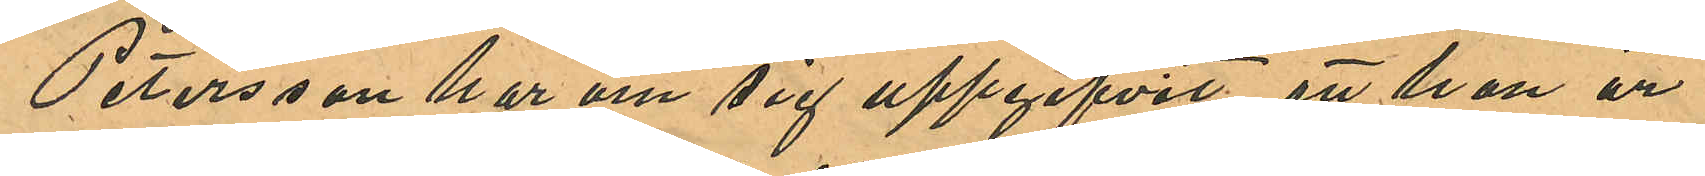Petersson har om sig uppgifvit att han är
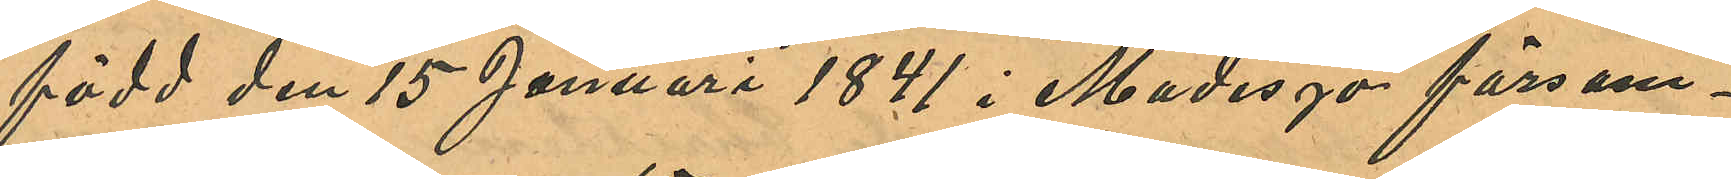född den 15 Januari 1841 i Madesjö försam¬
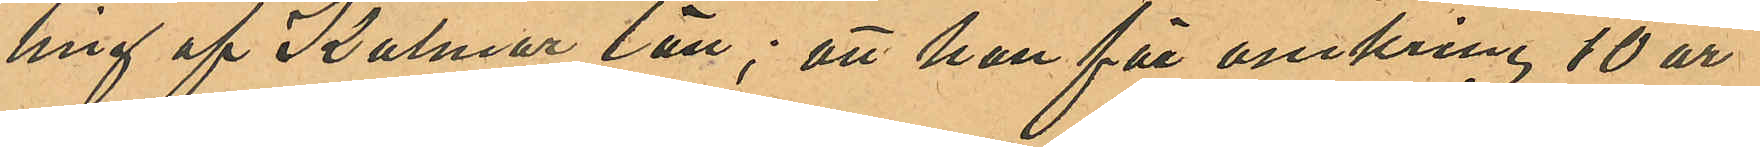ling af Kalmar län; att han för omkring 10 år
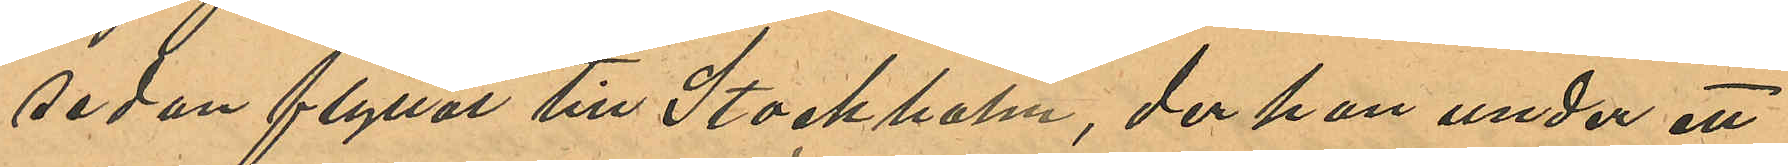sedan flyttat till Stockholm, der han under ett
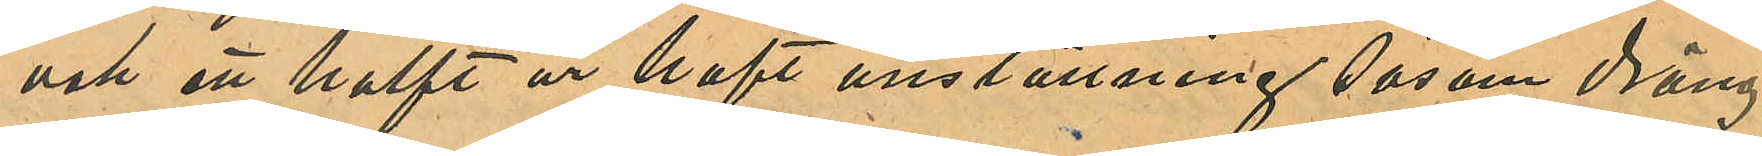och att halft år haft anställning såsom dräng
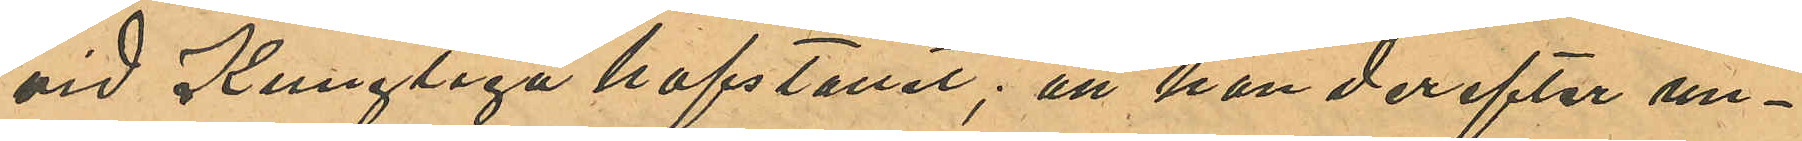vid Kungliga hofstallet; att han derefter un¬
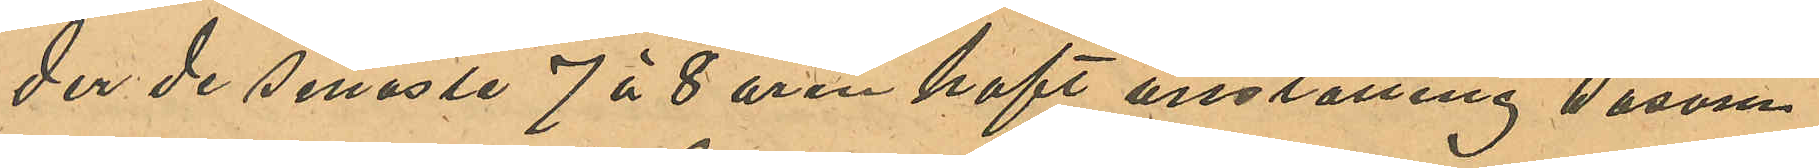der de senaste 7 á 8 åren haft anställing såsom
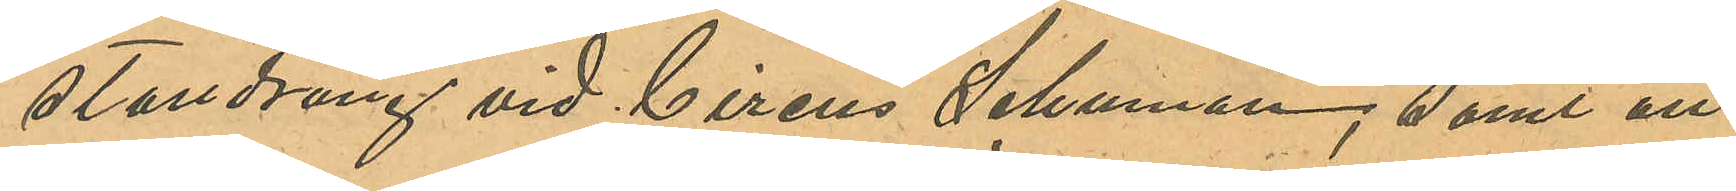stalldräng vid Circus Schuman, samt att
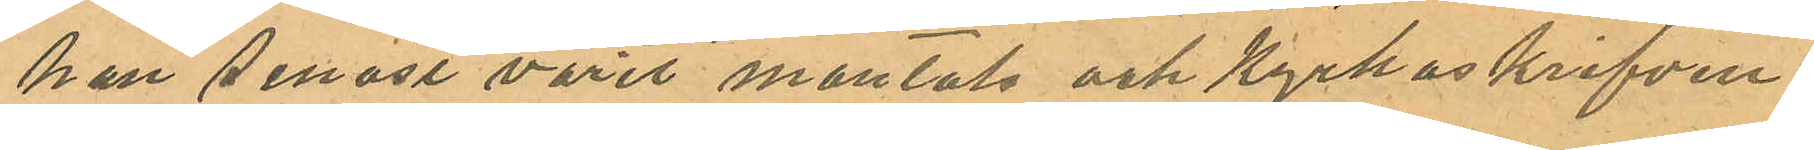han senast varit mantals och kyrkoskrifven
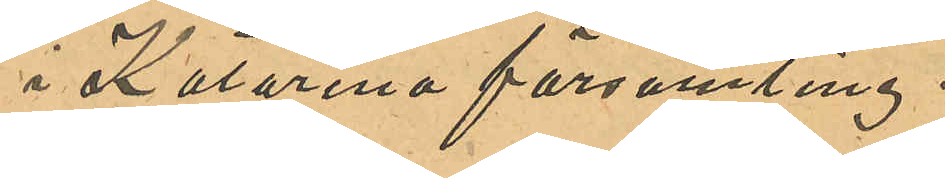i Katarina församling.
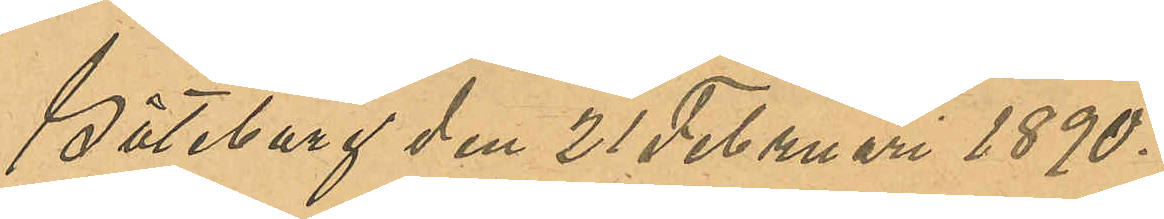Göteborg den 21 Februari 1890.
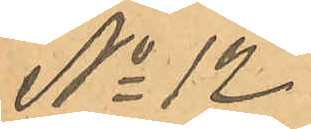No 12
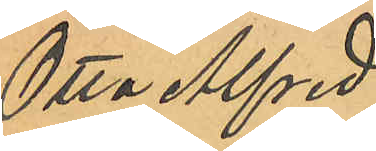Otto Alfred
